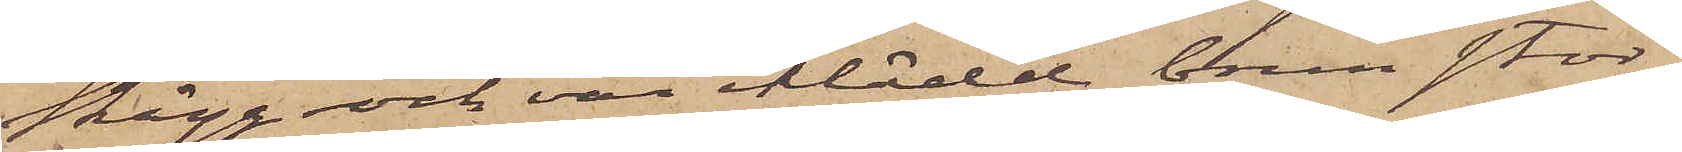skägg och var iklädd brun stor¬
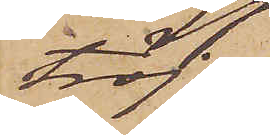tröja,
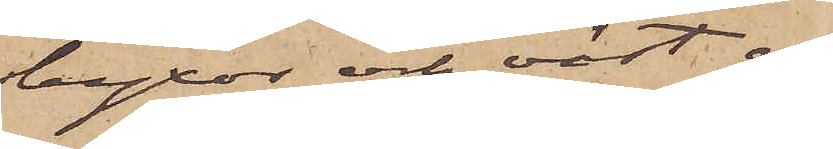byxor och väst af
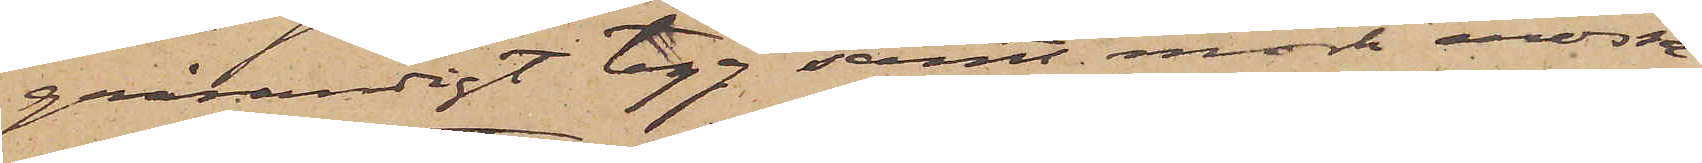grårandigt tyg samt mörk mössa
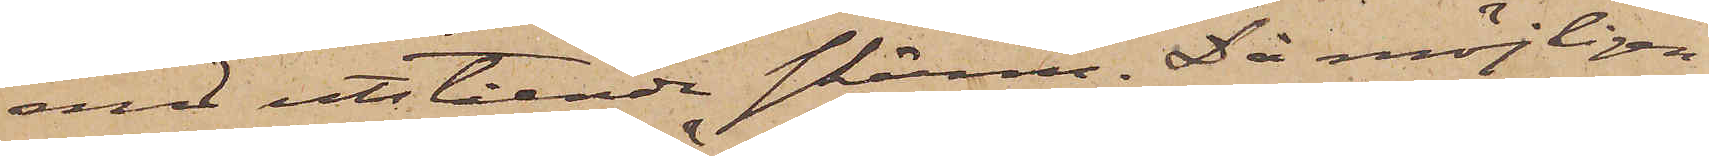med utstående skärm. Då möjligen
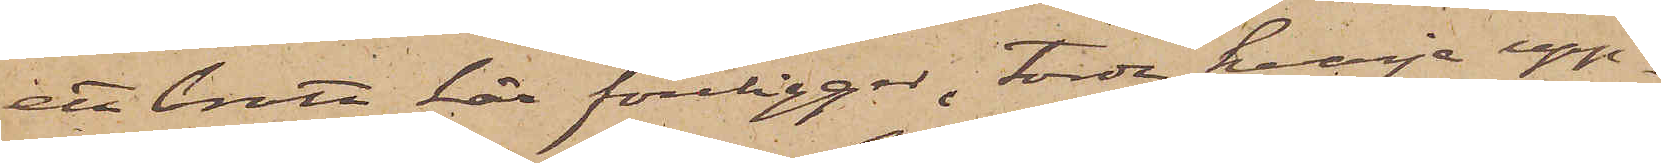ett brott här föreligger, torde hvarje upp¬
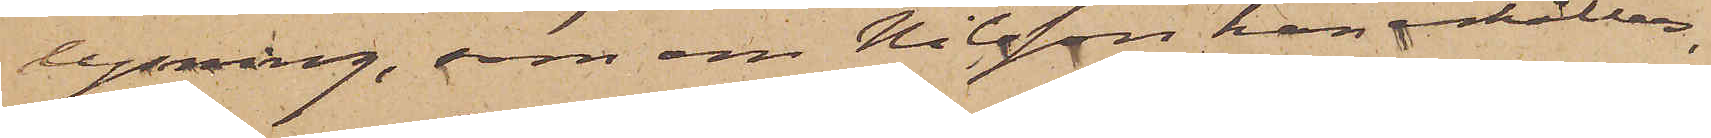lysning, som om Nilsson kan erhållas,
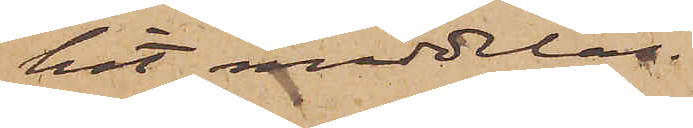hit meddelas.
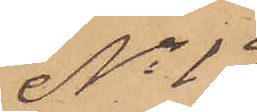No 19
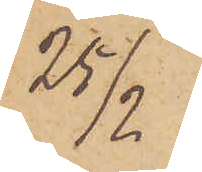25/2
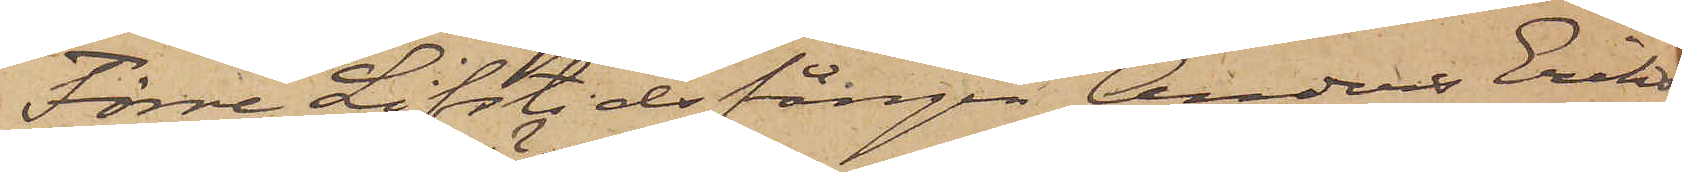Förre Lifstidsfången Anders Eriks¬
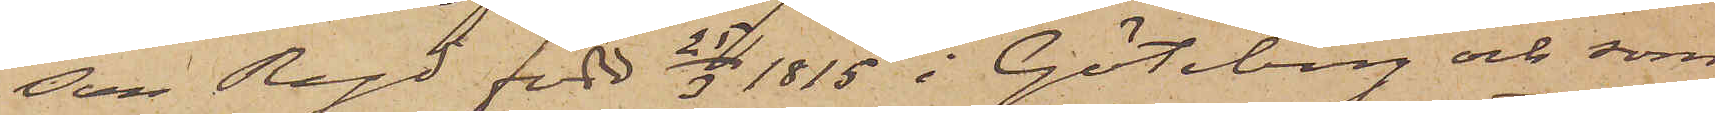son Ryd född 25/3 1815 i Göteborg och som
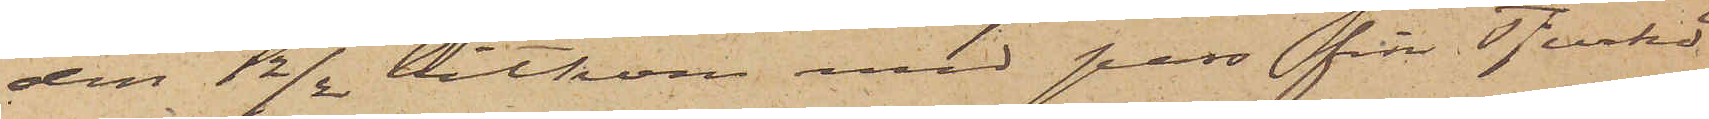den 12/2 hitkom med pass från Tjurkö
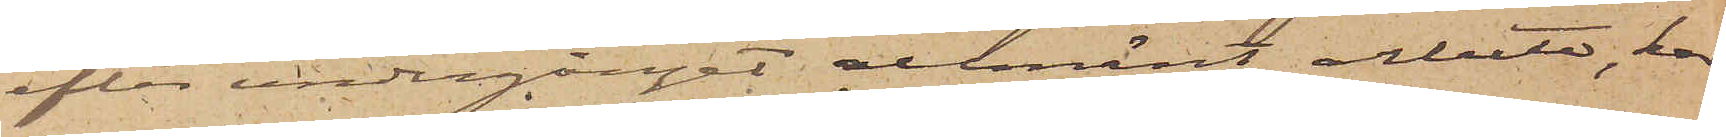efter undergånget allmänt arbete, har
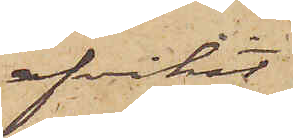afvikit
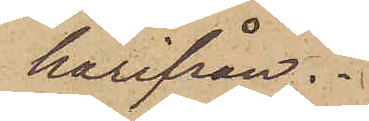härifrån.
